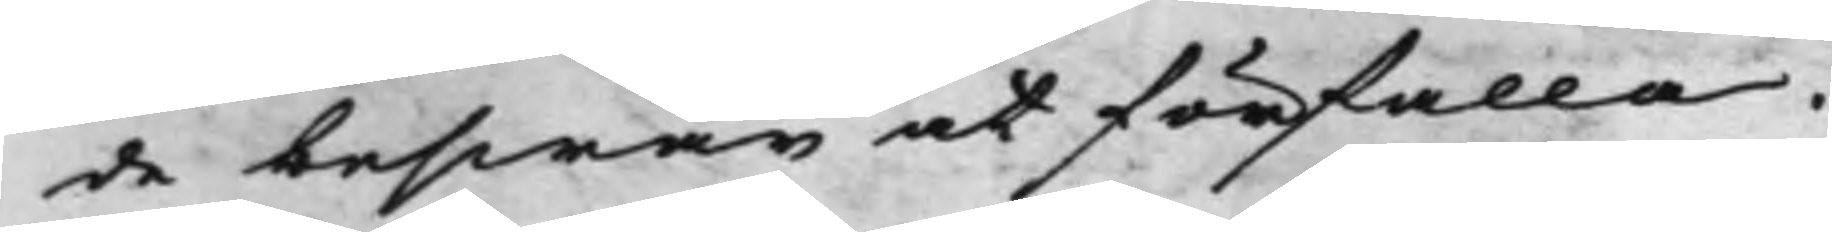de beswär at förfalla.
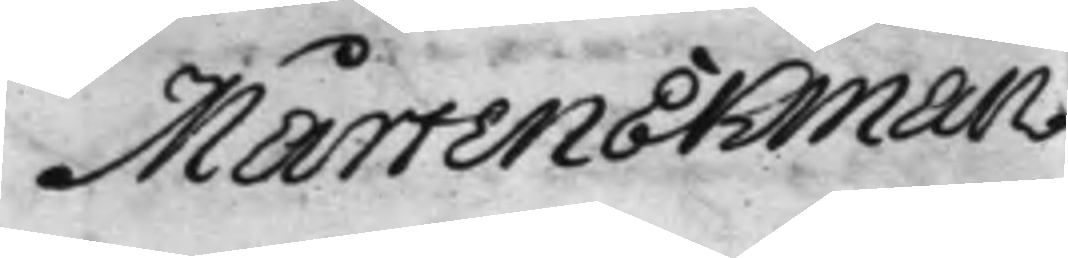Mårten Ekman
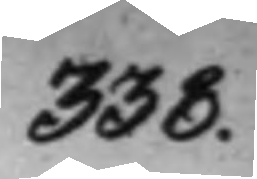338.
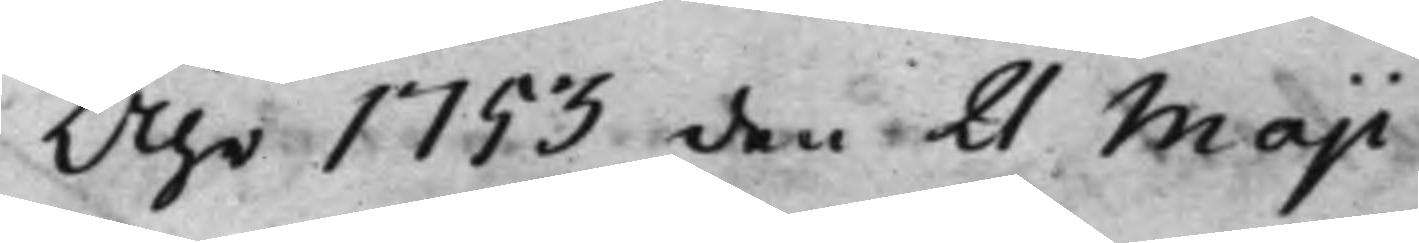Åhr 1753 den 21 Maji
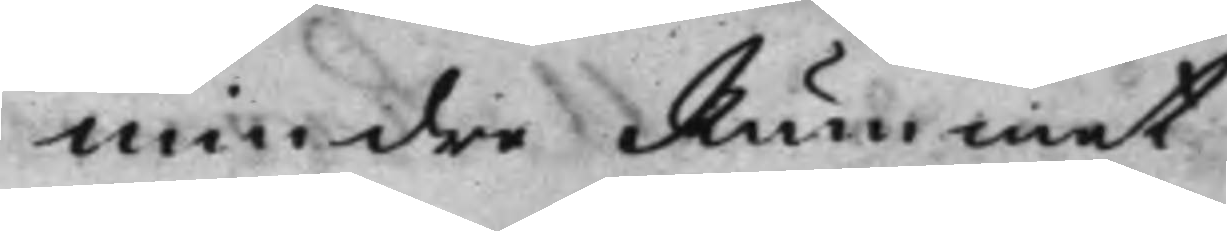Mindre Rummet
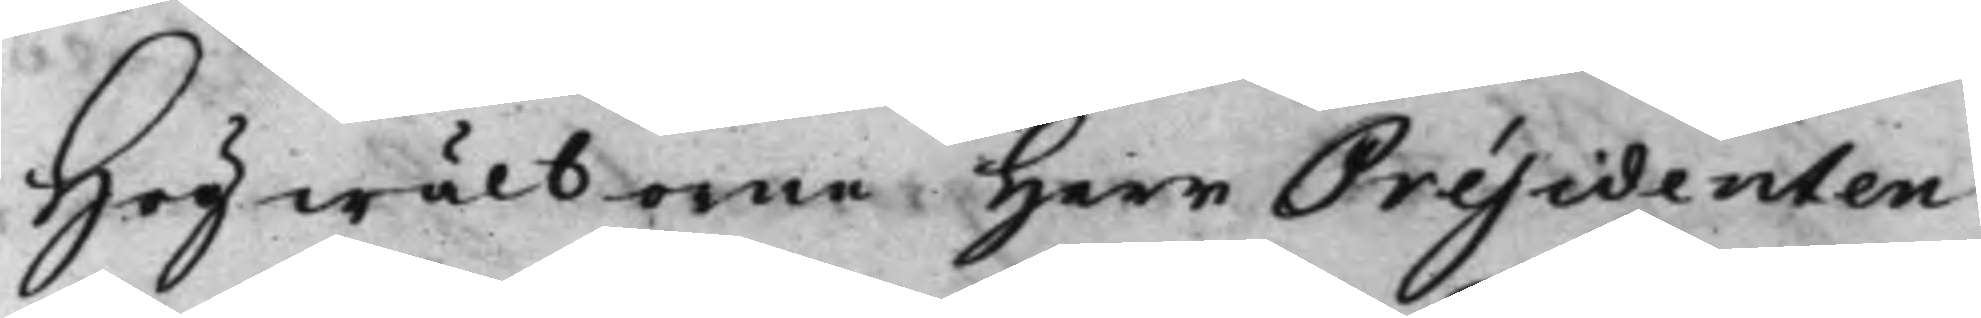Högwälborne Herr Présidenten
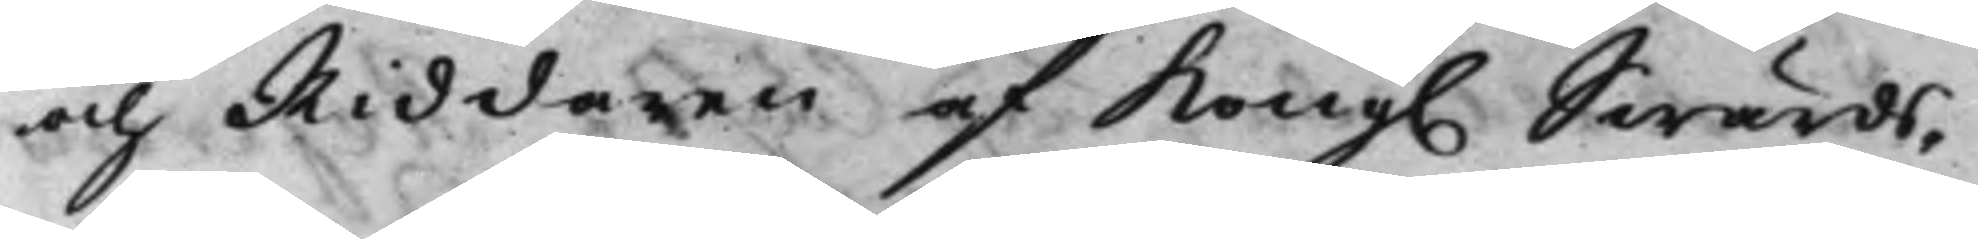och Riddaren af Kong. Swärds¬
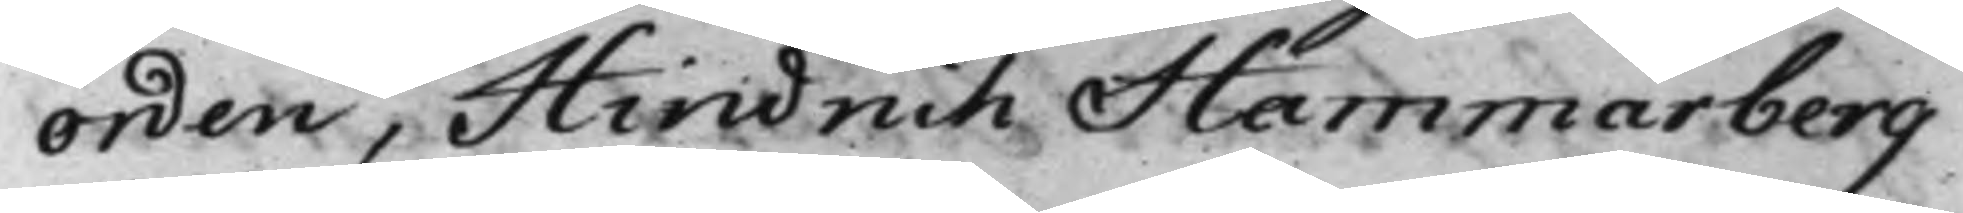Orden, Hindrich Hammarberg
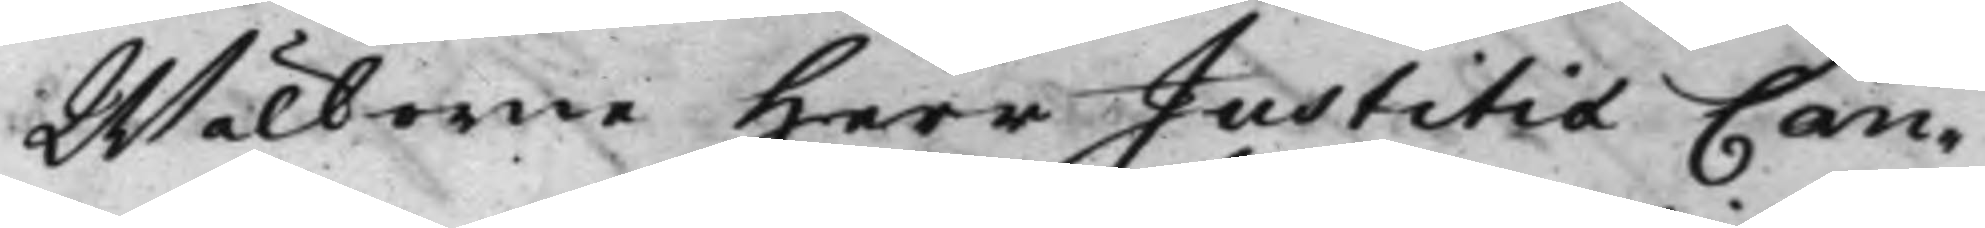Wälborne Herr Justitiæ Can¬
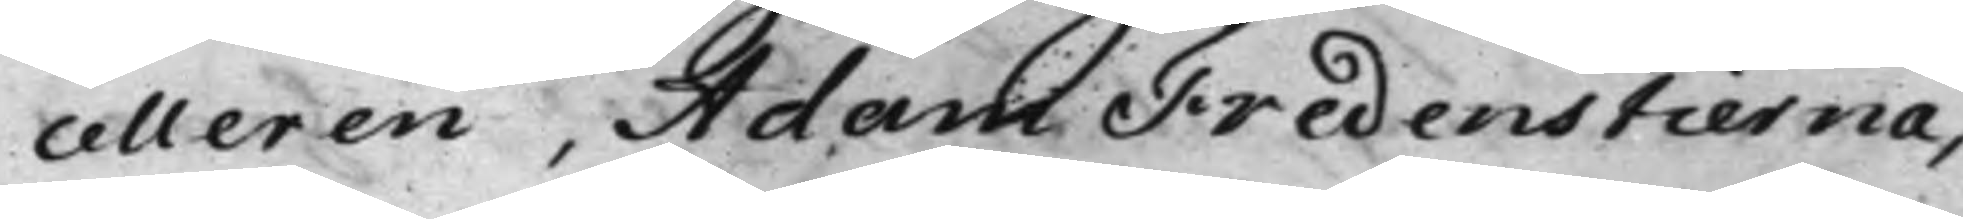celleren, Adam Fredenstierna,
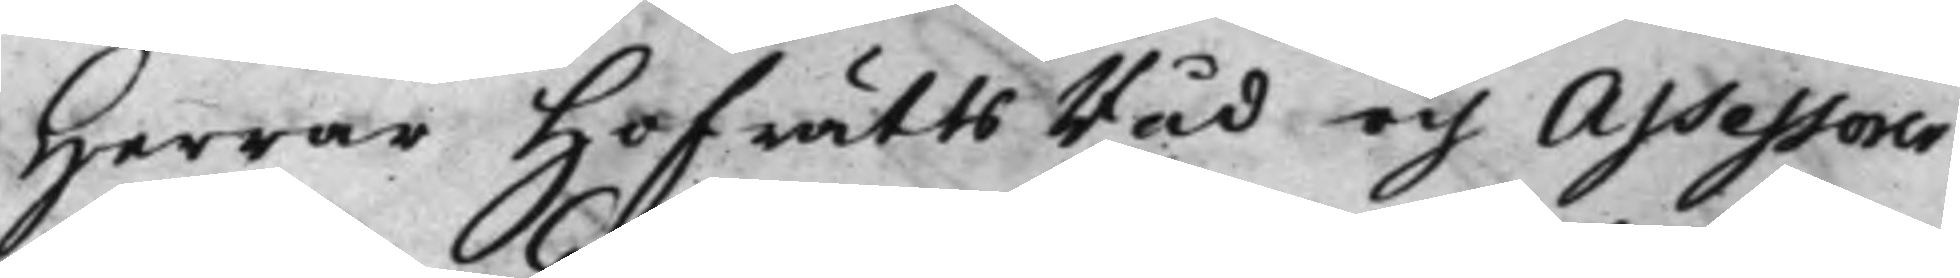Herrar HofrättsRåd och Assessorer
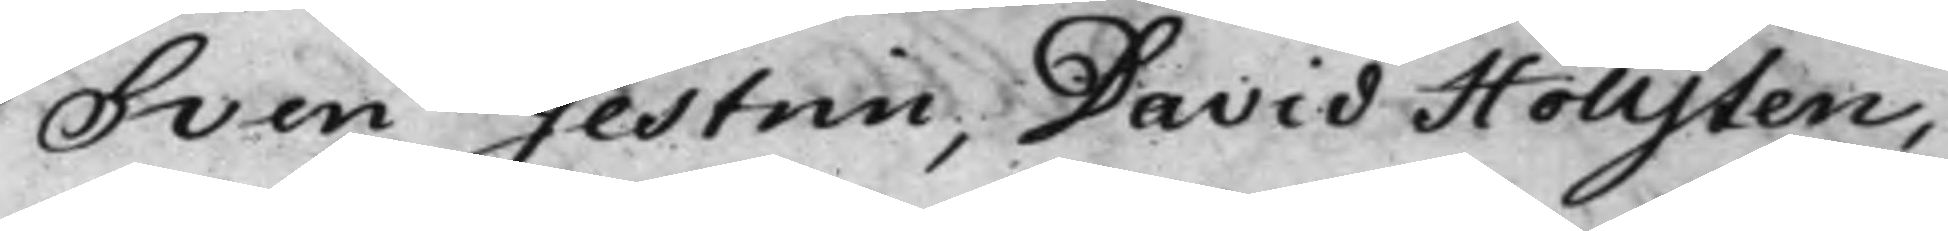Sven Gestrin, David Hollsten,
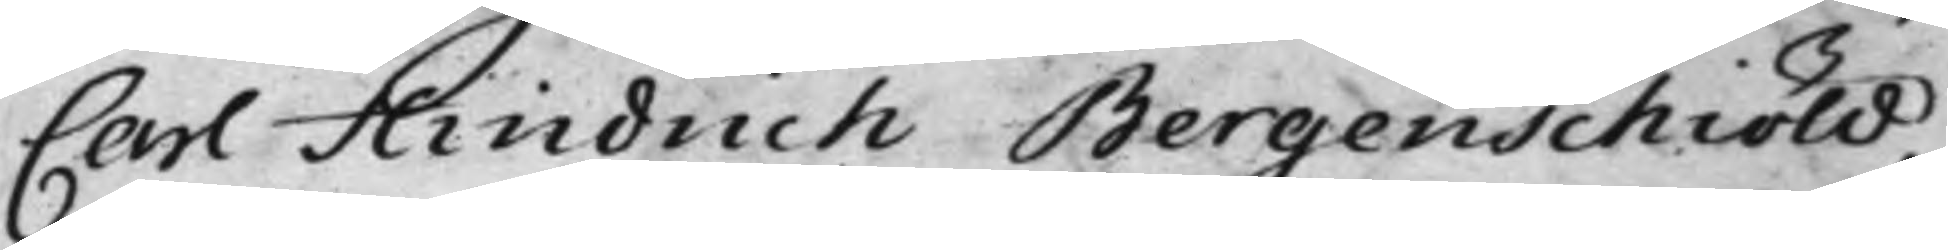Carl Hindrich Bergenschiöld,
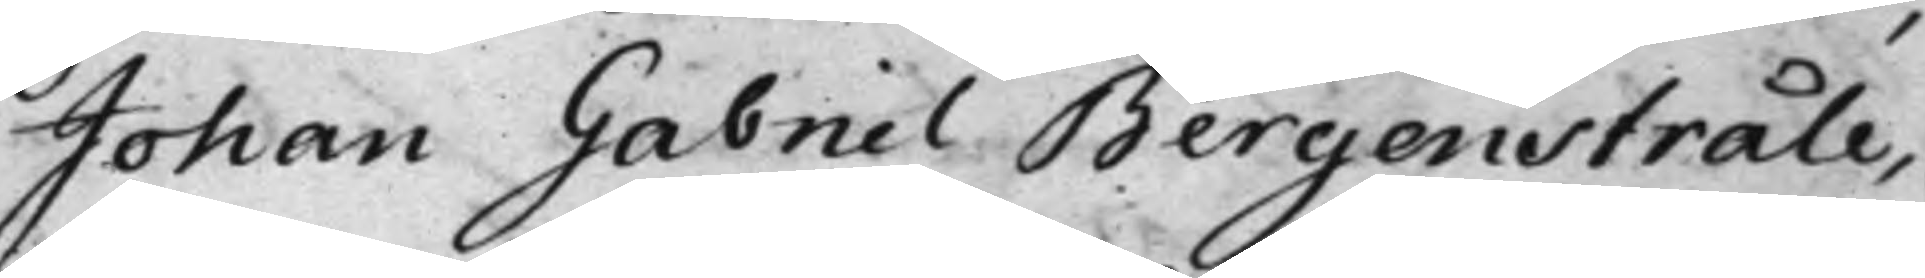Johan Gabriel Bergenstråle,
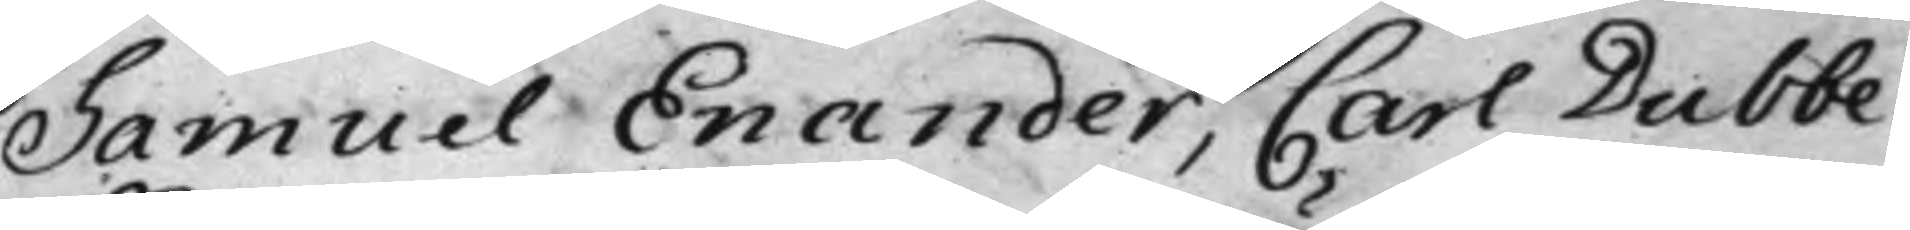Samuel Enander, Carl Dubbe.
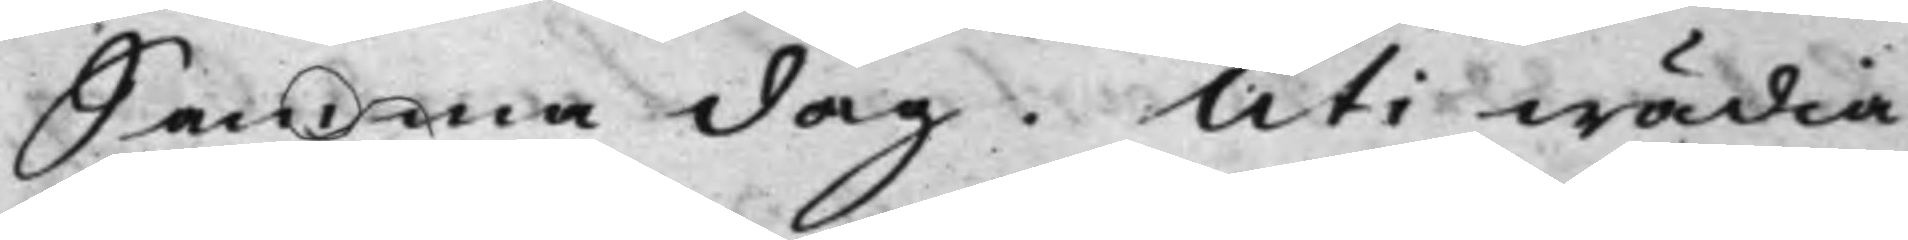Samma dag. Uti wädia¬
